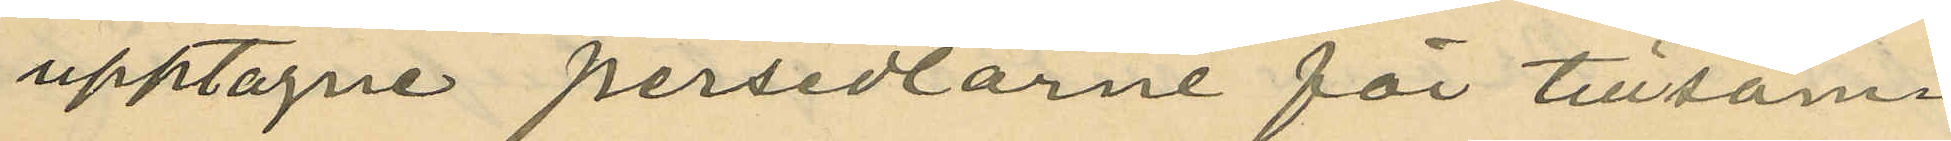upptagne persedlarne för tillsam¬
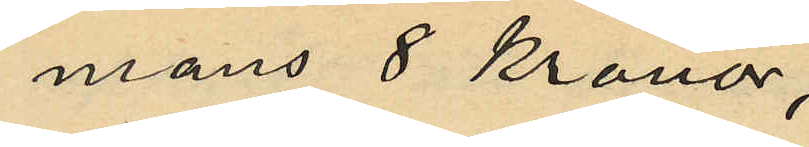mans 8 Kronor;
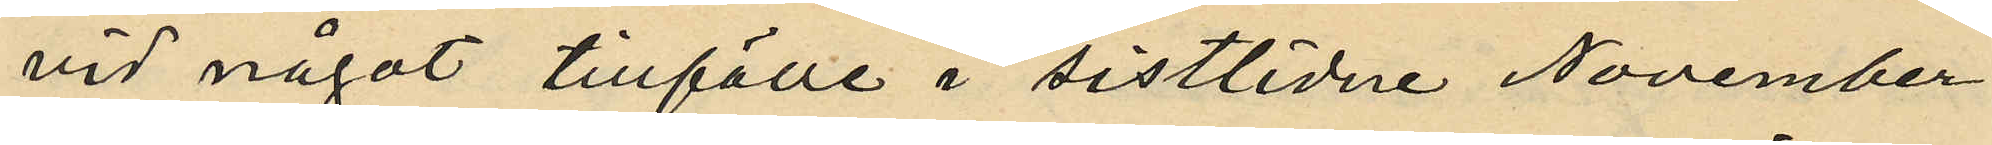vid något tillfälle i sistlidne November
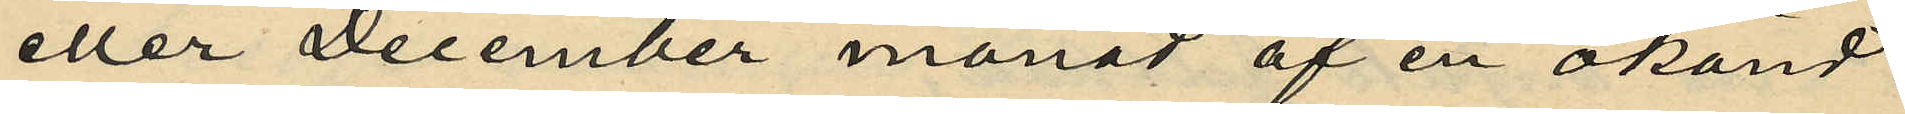eller December månad af en okänd
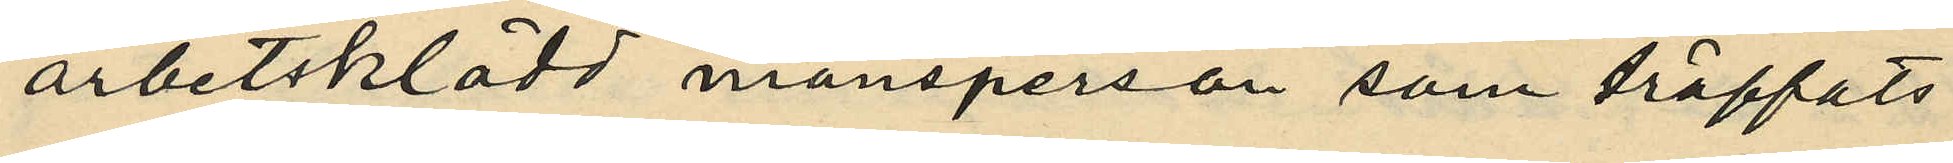arbetsklädd mansperson som träffats
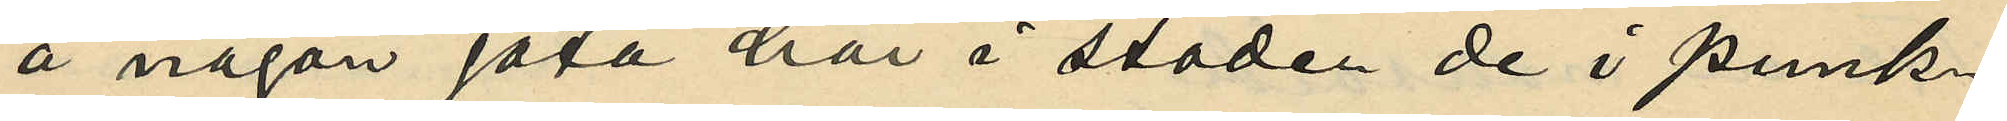å någon gata här i staden de i punk¬
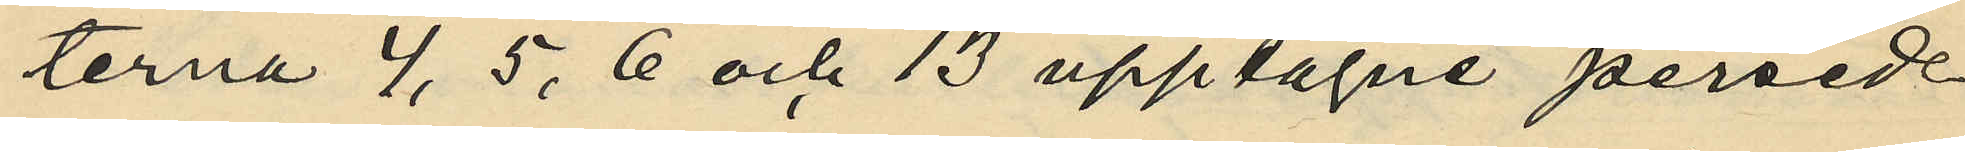terna 4, 5, 6 och 13 upptagne persed¬
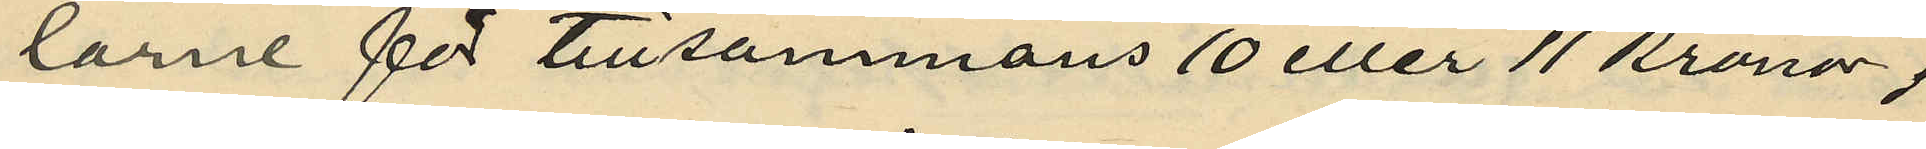larne för tillsammans 10 eller 11 kronor,
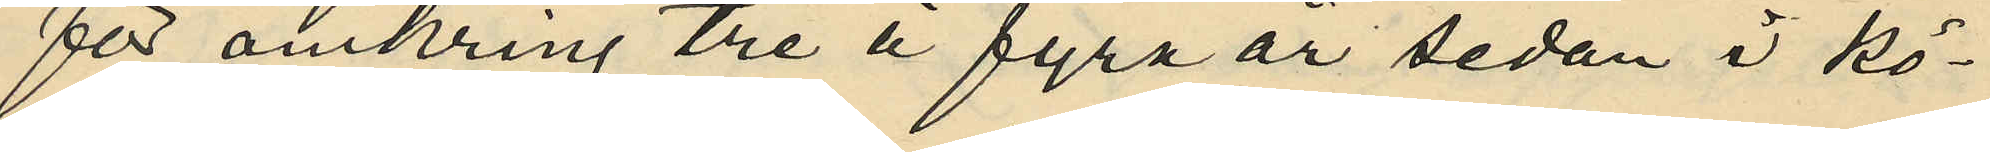för omkring tre á fyra år sedan i Kö¬
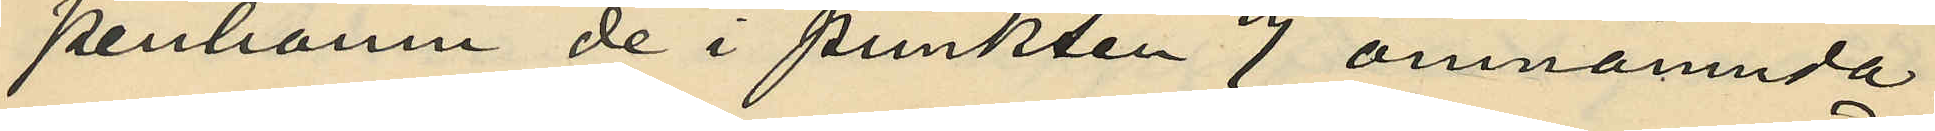penhamn de i punkten 7 omnämnda
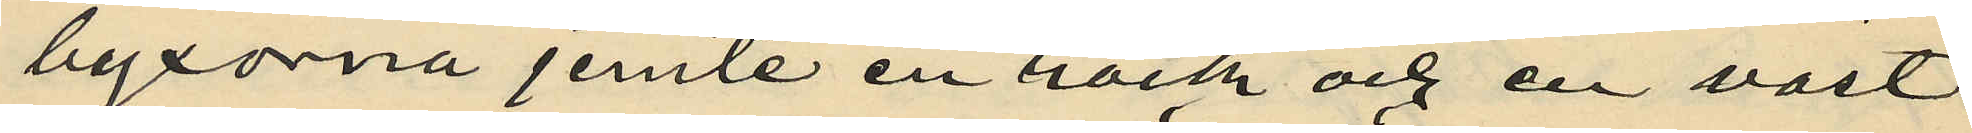byxorna jemte en rock och en väst
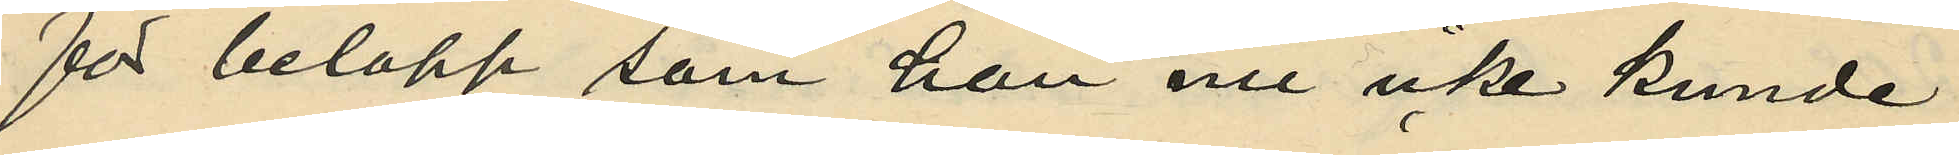för belopp som han nu icke kunde
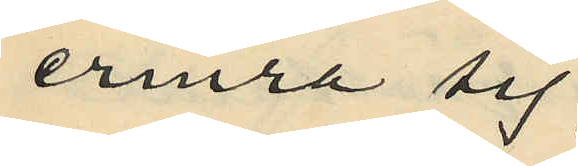erinra sig;
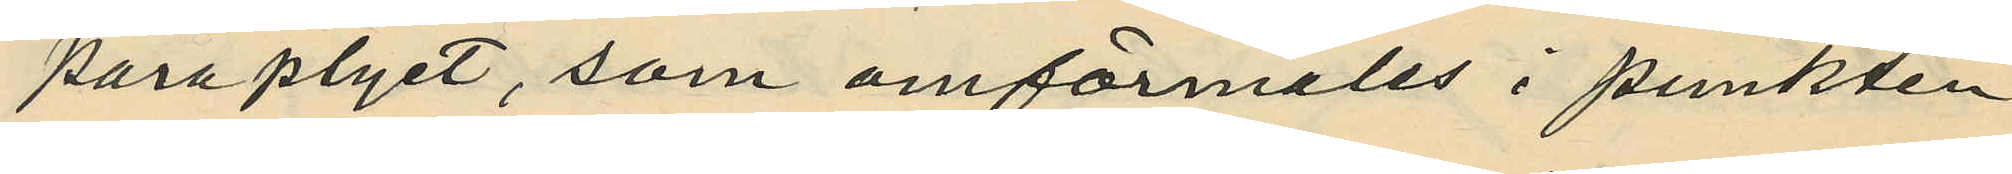paraplyet, som omförmälts i punkten
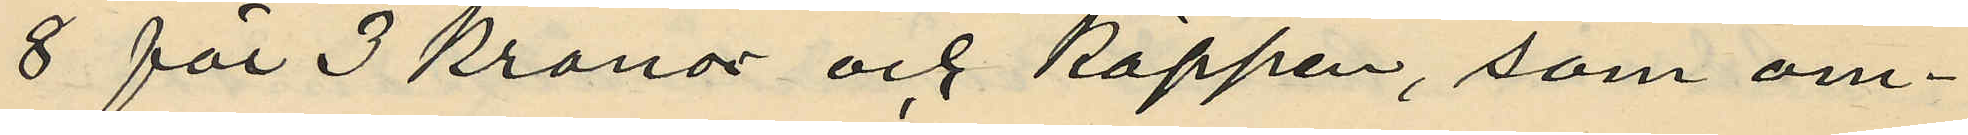8 för 3 kronor och käppen, som om¬
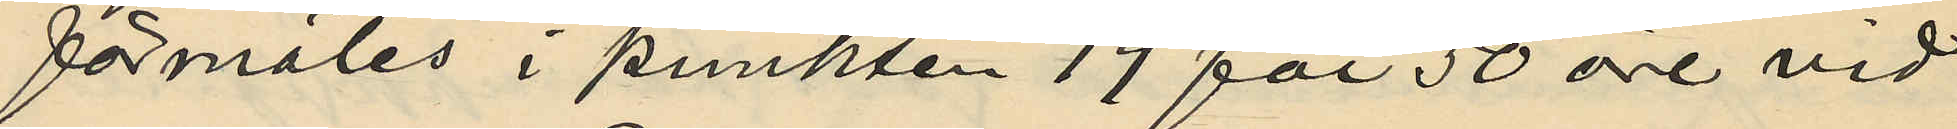förmäles i punkten 19 för 50 öre vid
